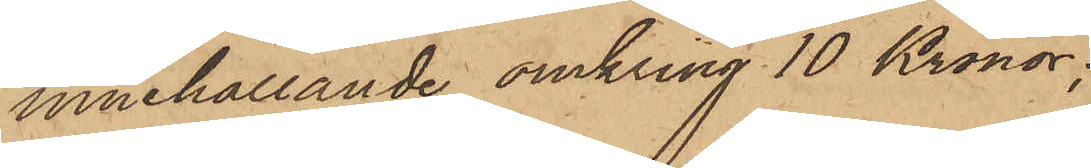innehållande omkring 10 Kronor;
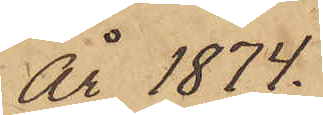år 1874.
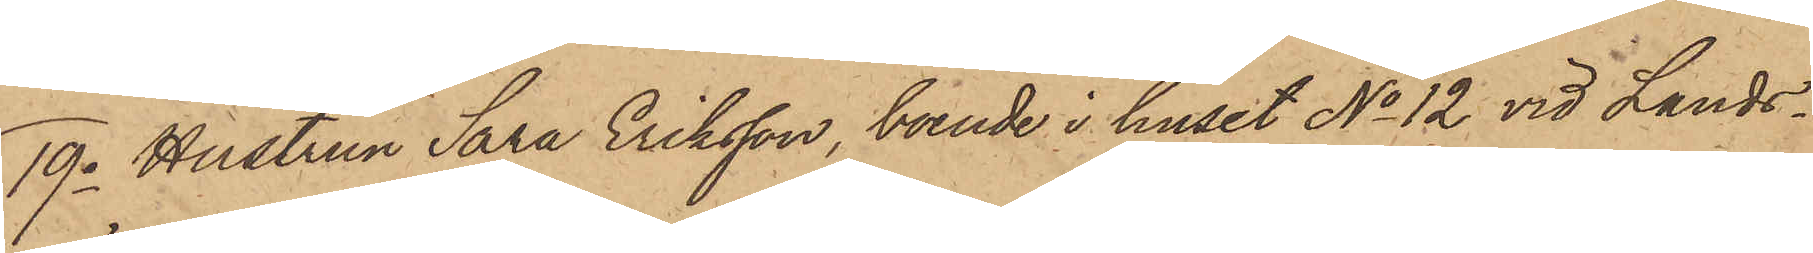19o Hustrun Sara Eriksson, boende i huset No 12 vid Lands¬
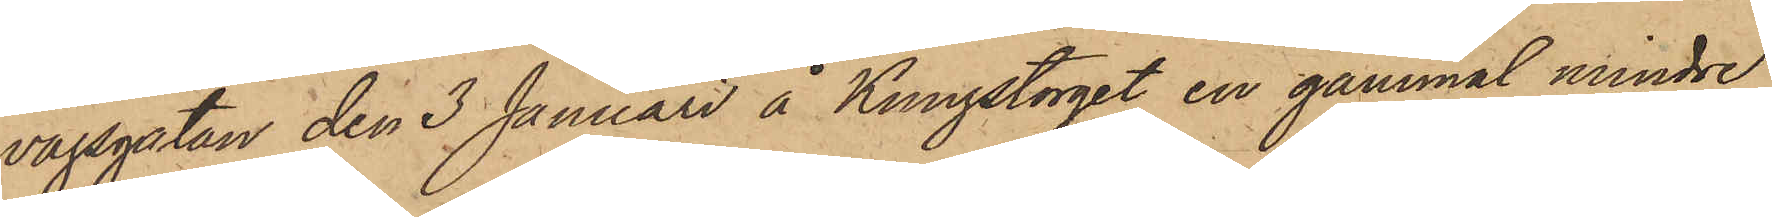vägsgatan den 3 Januari å Kungstorget en gammal mindre
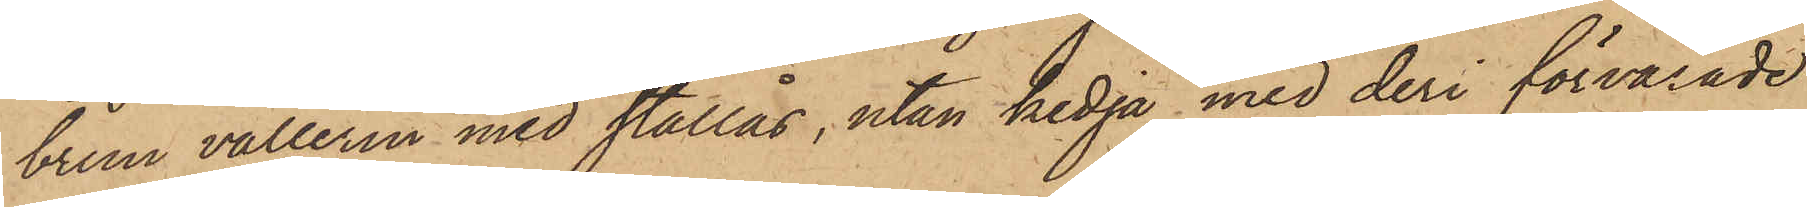brun vallerin med stållås, utan kedja med deri förvarade
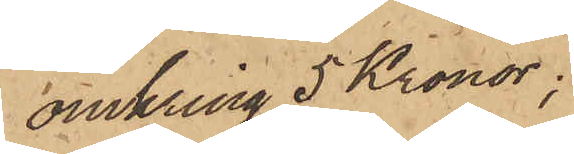omkring 5 Kronor;
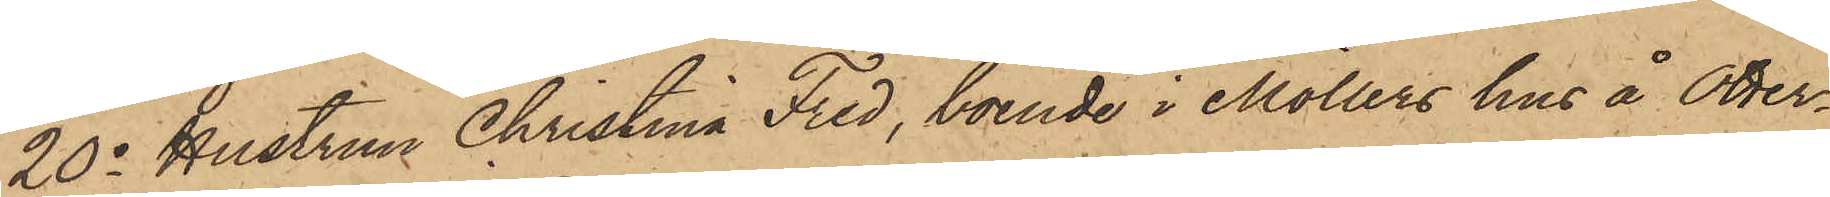20o Hustrun Christina Fred, boende i Möllers hus å Otter¬
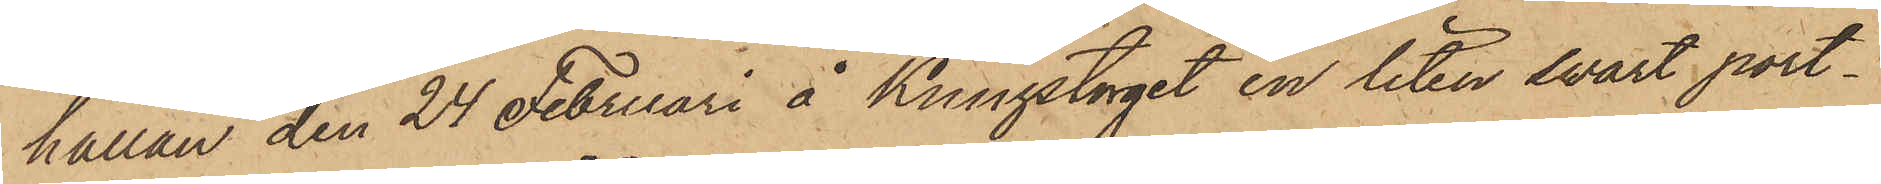hällan den 24 Februari å Kungstorget en liten svart port¬
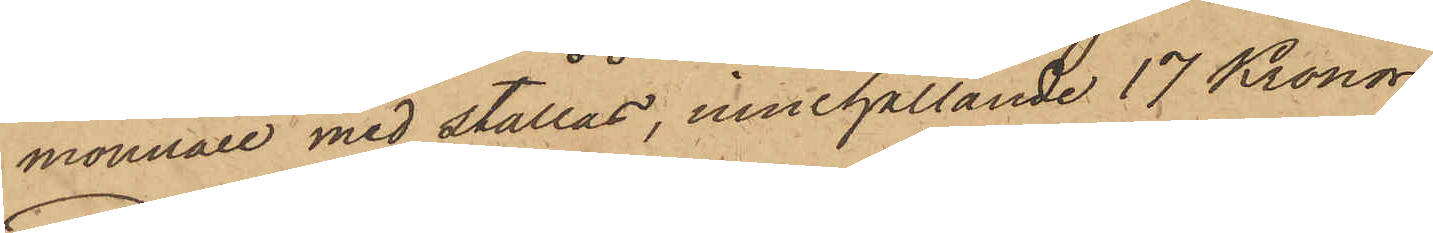monnaie med stållås, innehållande 17 Kronor;
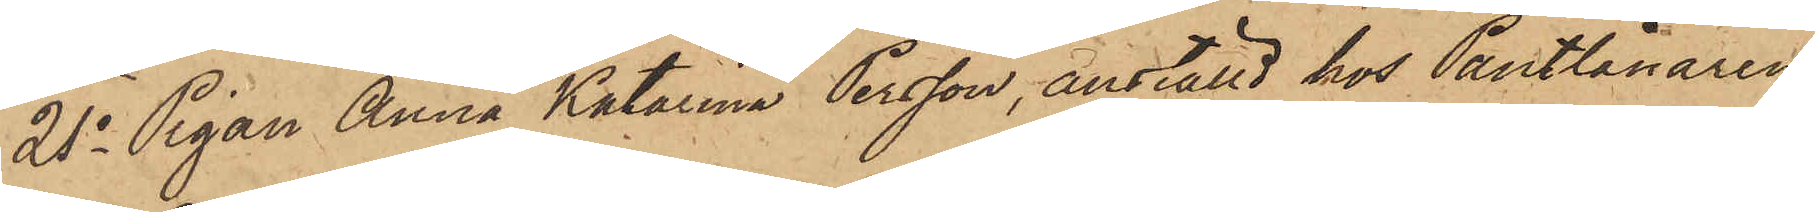21o Pigan Anna Katarina Persson, anställd hos Pantlånaren
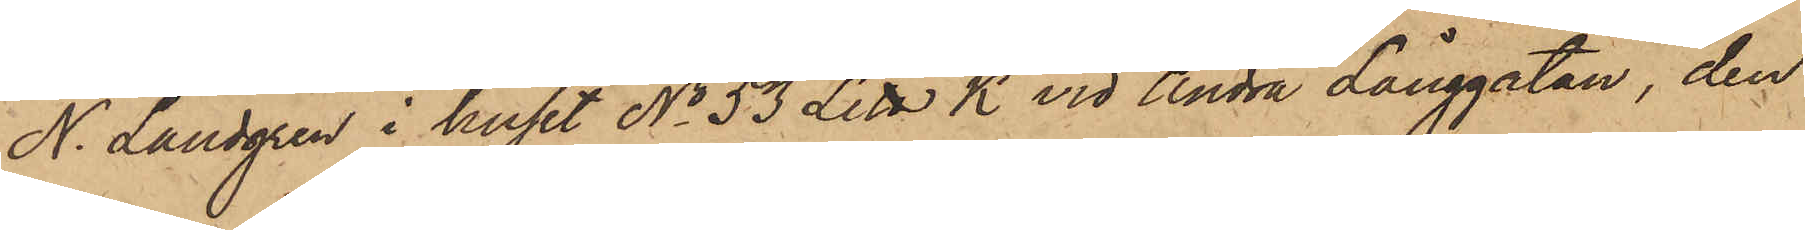N. Landgren i huset No 53 Litt K vid Andra Långgatan, den
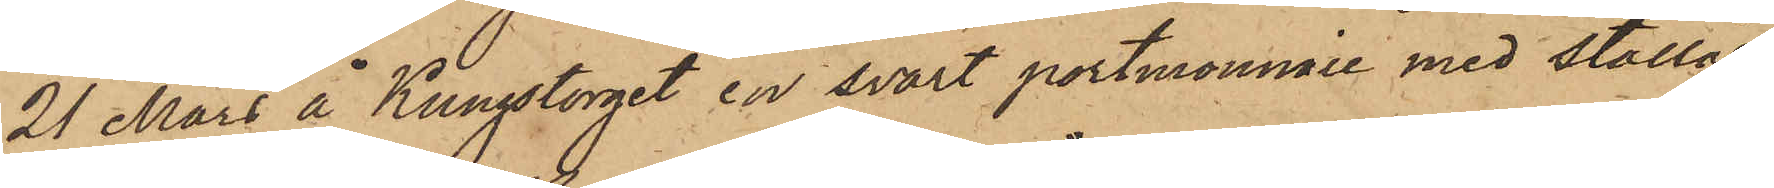21 Mars å Kungstorget en svart portmonnaie med stållås,
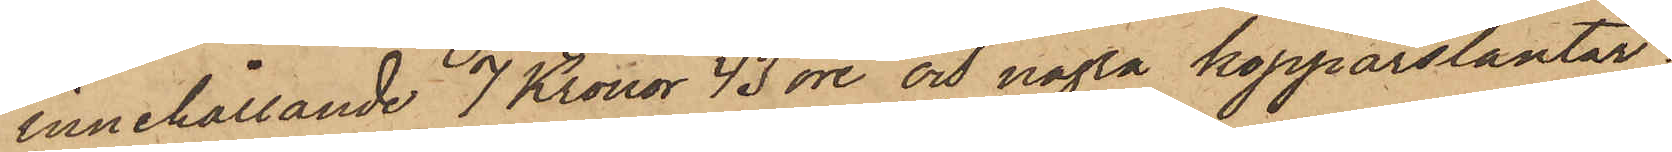innehållande 7 Kronor 43 öre och några kopparslantar;
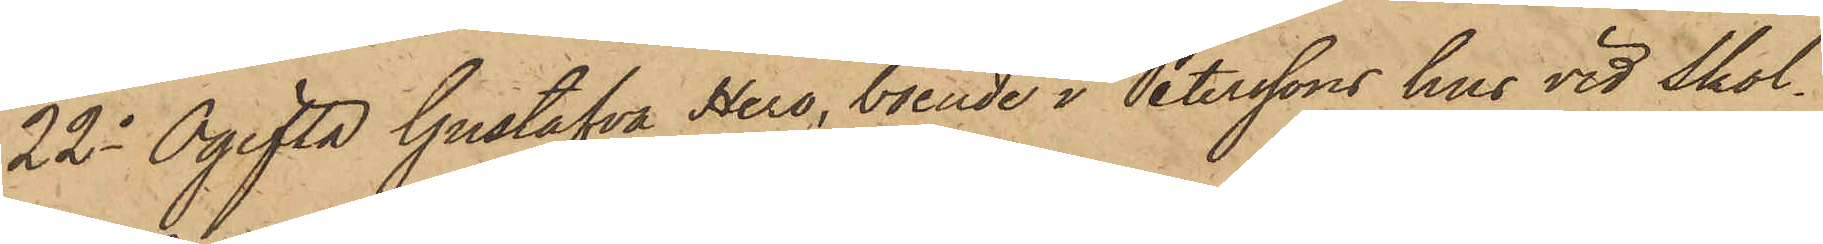22o Ogifta Gustafva Hero, boende i Peterssons hus vid Skol¬
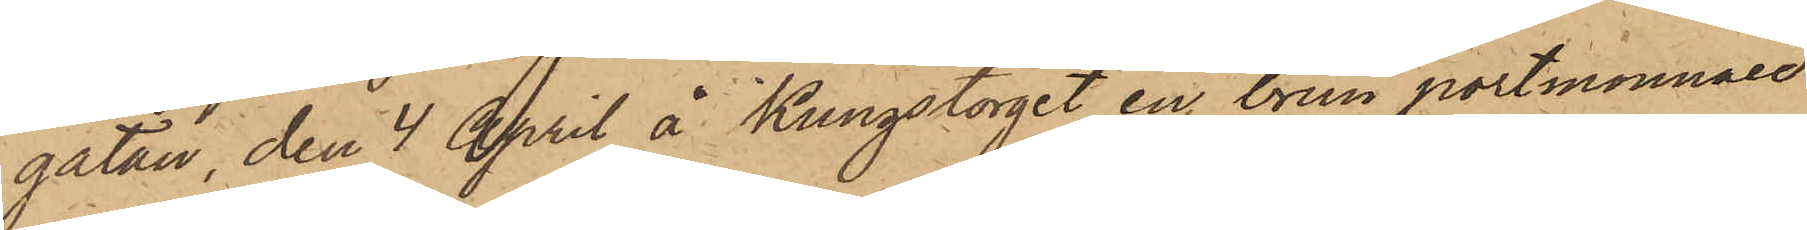gatan, den 4 April å Kungstorget en brun portmonnaie
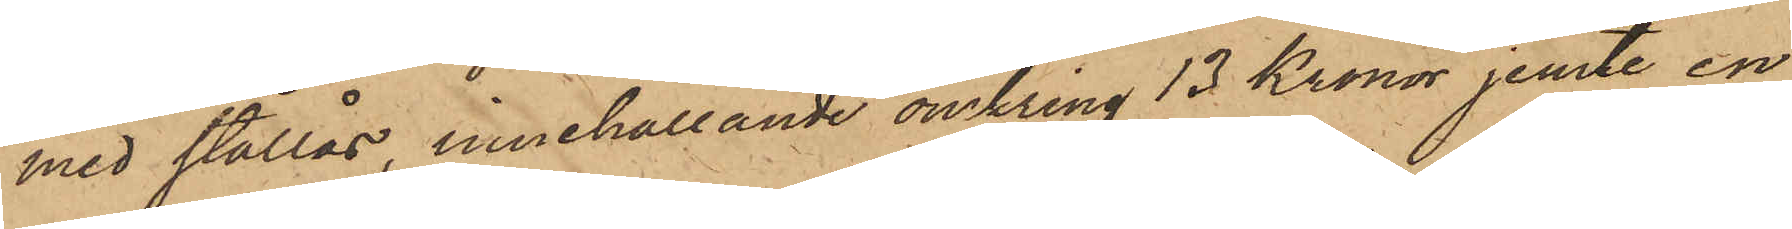med stållås, innehållande omkring 13 Kronor jemte en
